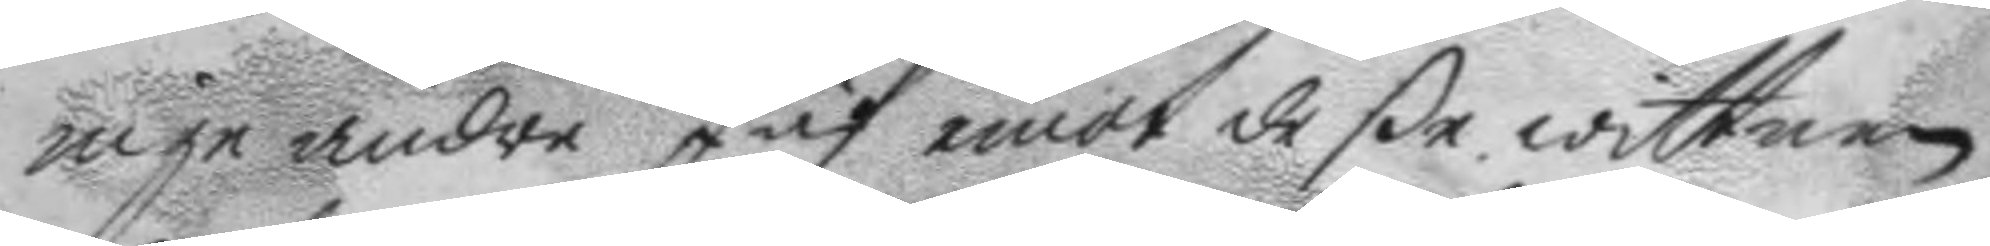inga andra Jäf emot deße wittnen
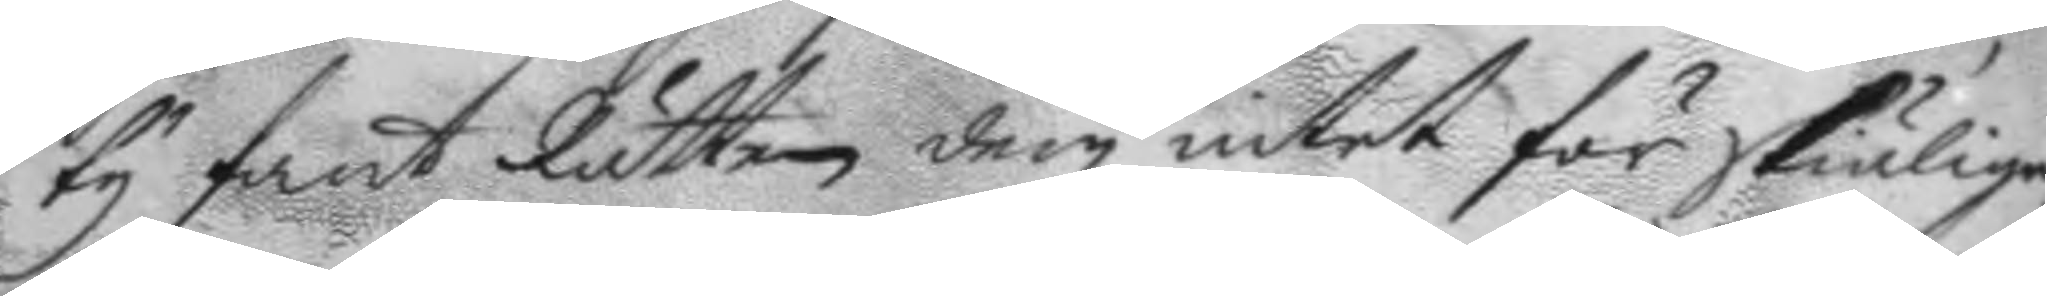ty fant Rätten dem intet för skiälige;
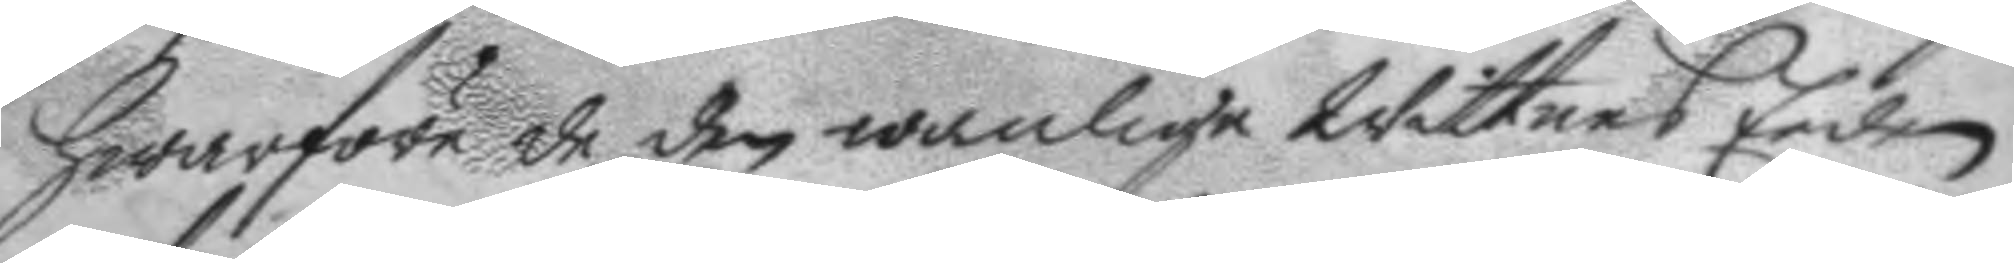Hwarföre de den wanlige Wittnes eeden
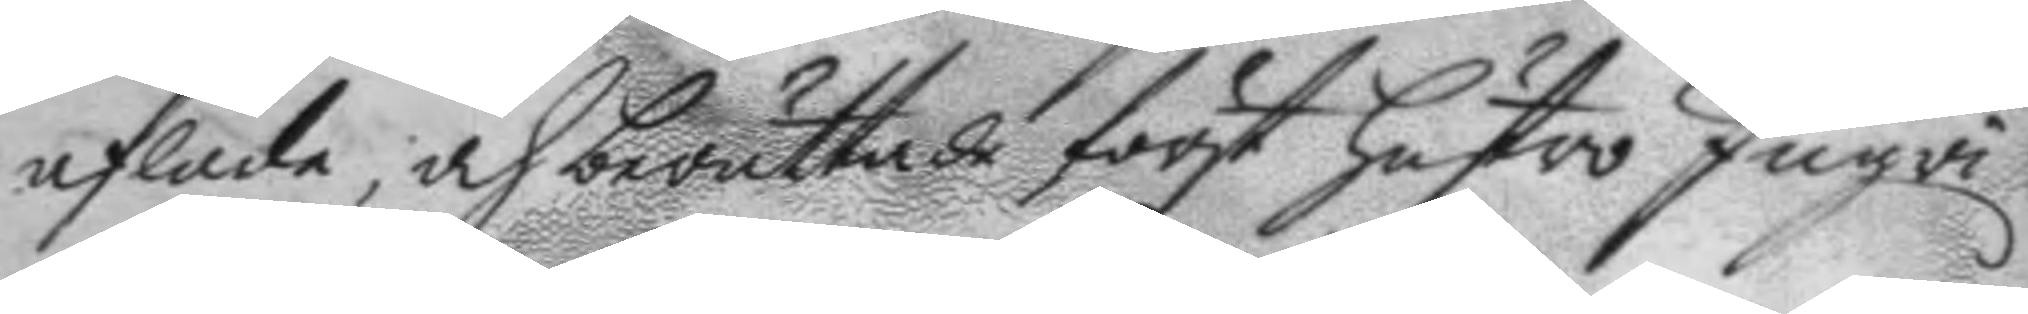aflade; och berättade först Hustro Ingri
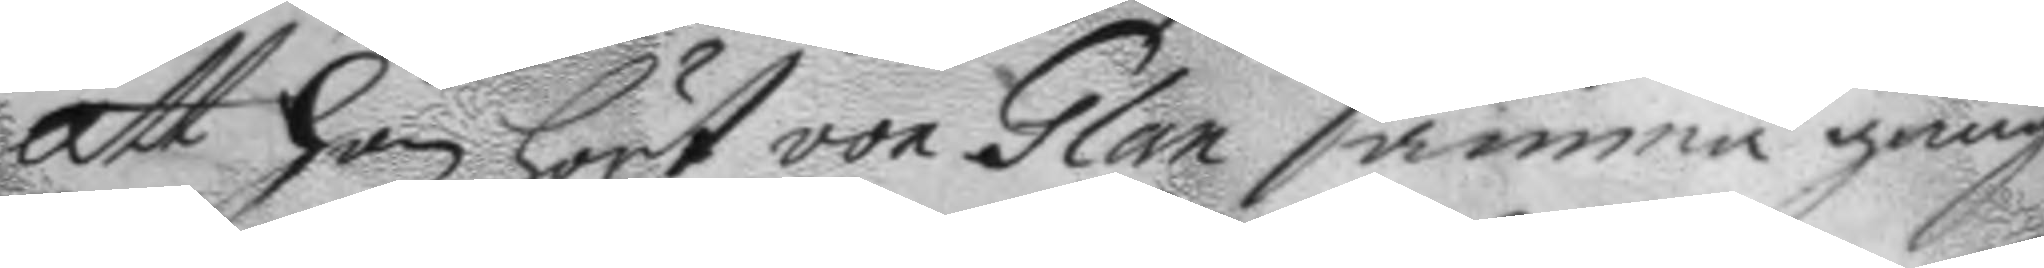att hon hört von Glan samma gång
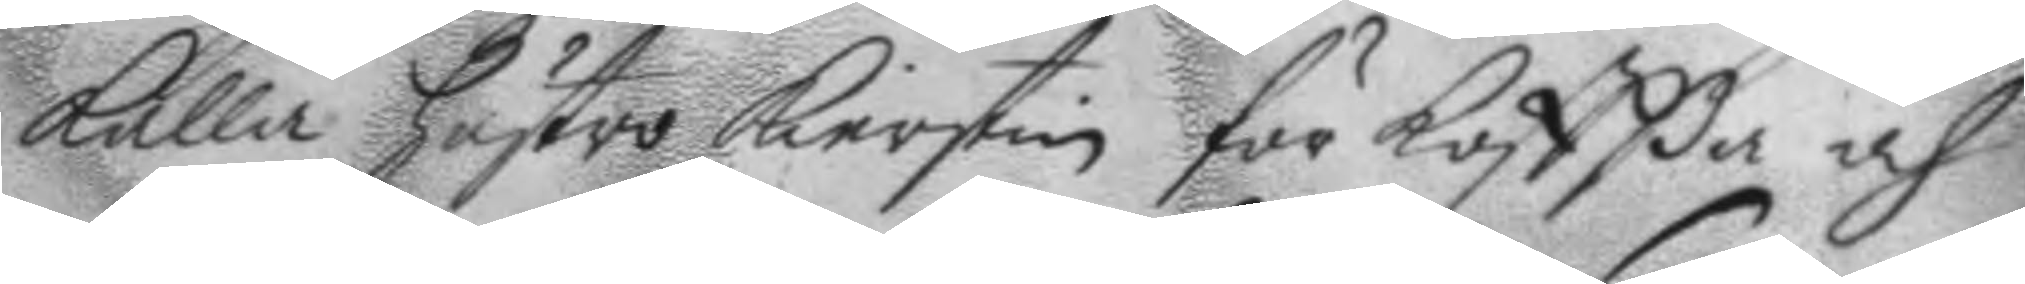Kalla hustru Kierstin för Koffßa och
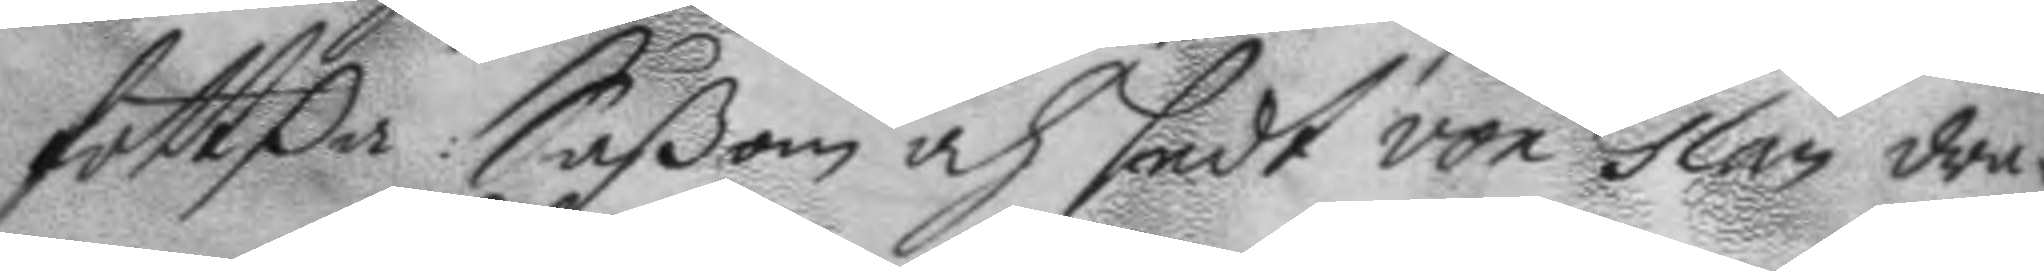fottßa: Såßom och sedt von Glan dra¬
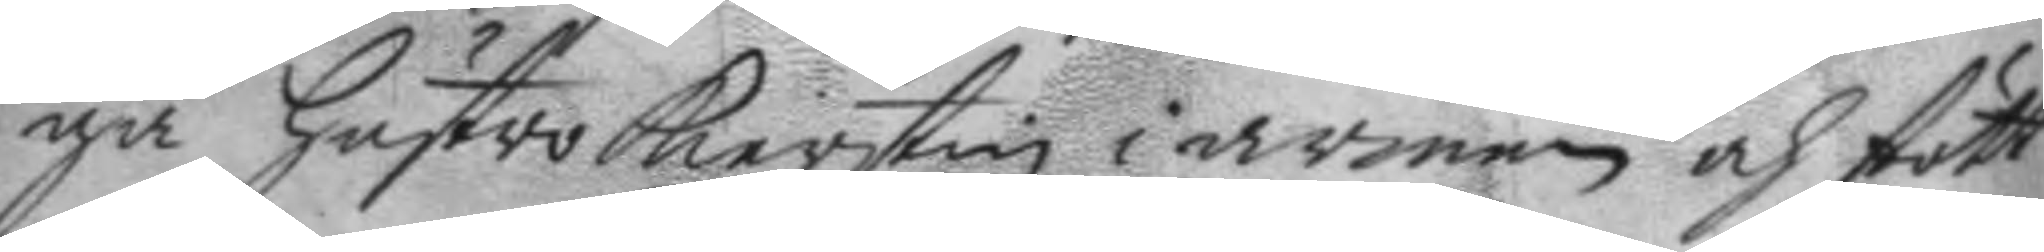ga Hustro Kierstin i armen och stött
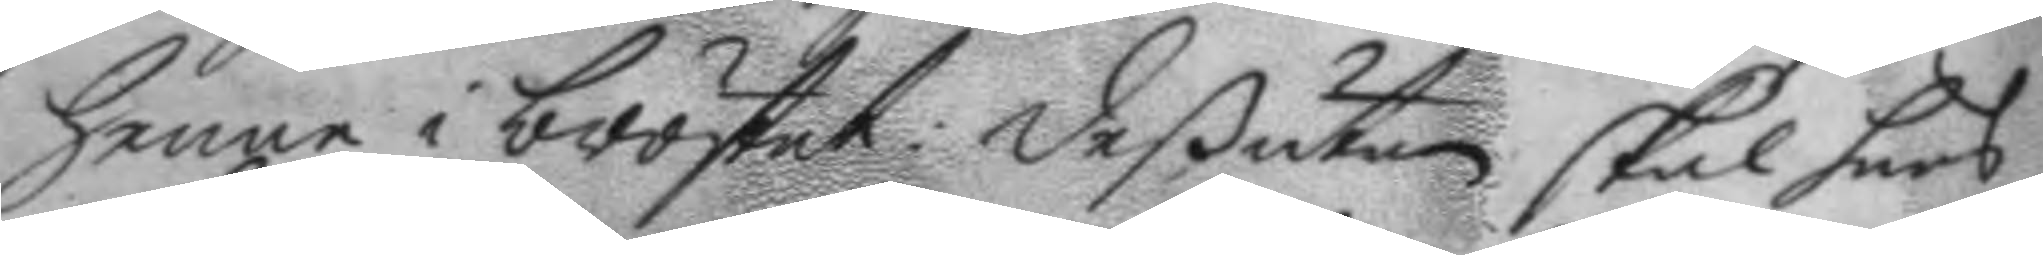henne i bröstet: deßutan skal hans
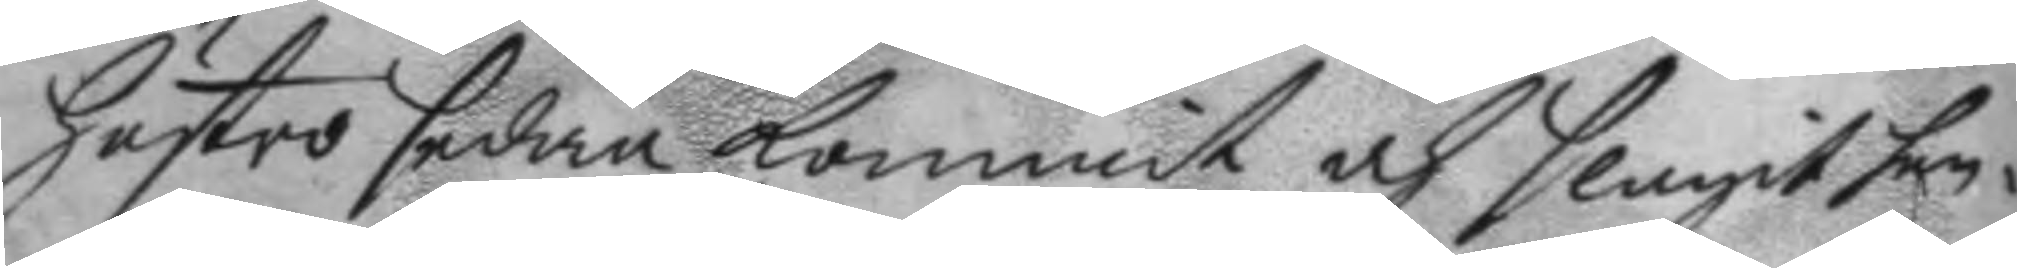Hustro sedan kommit och slagit hen¬
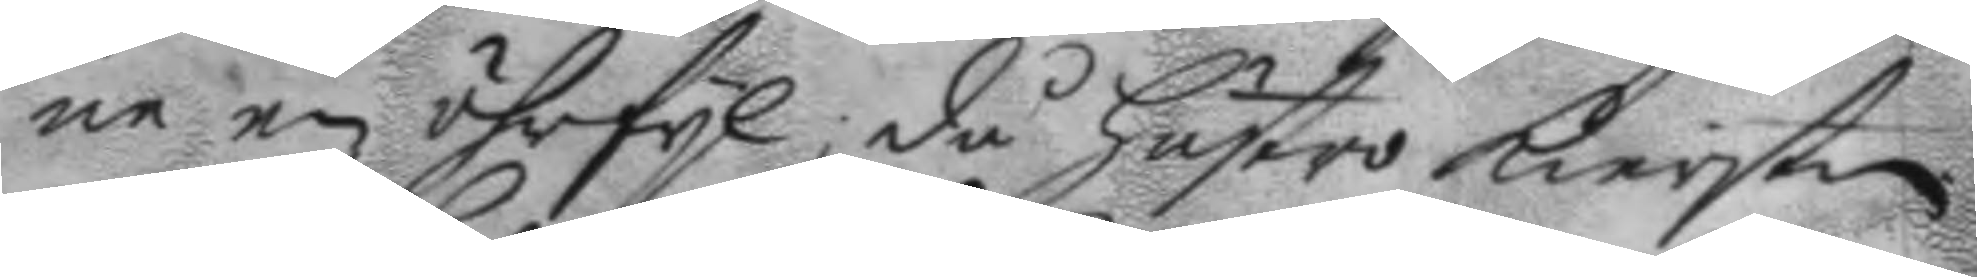ne en öhrfyl då Hustro Kierstin
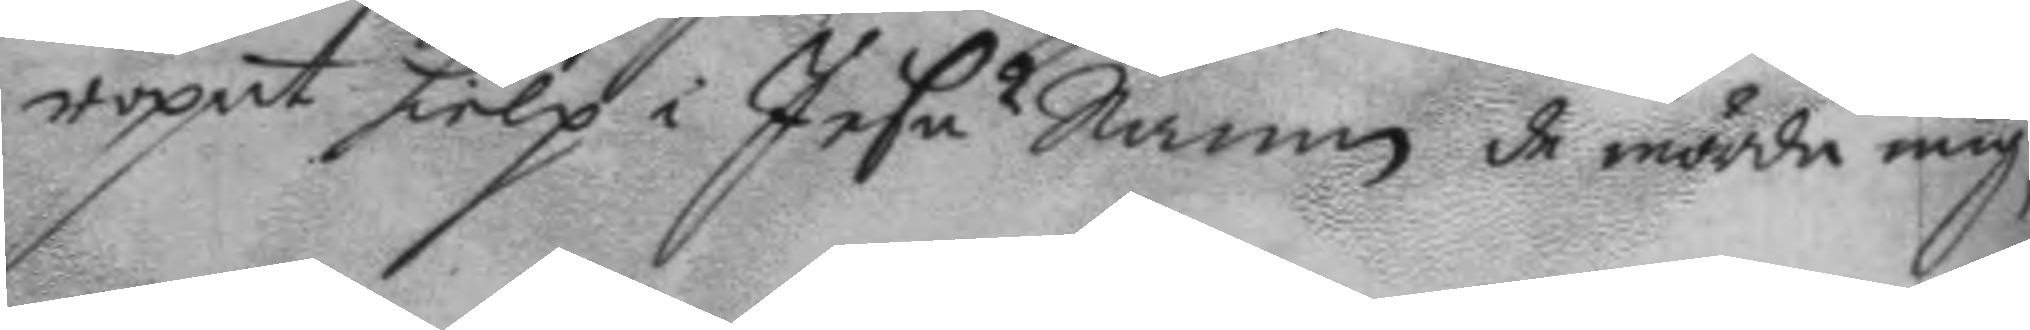ropat hielp i Jesu Namn de mörda mig,
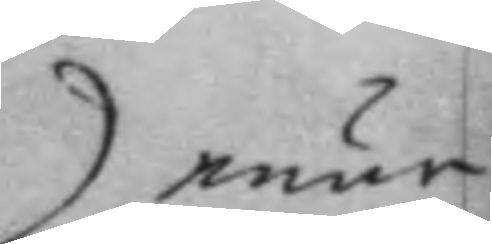enär
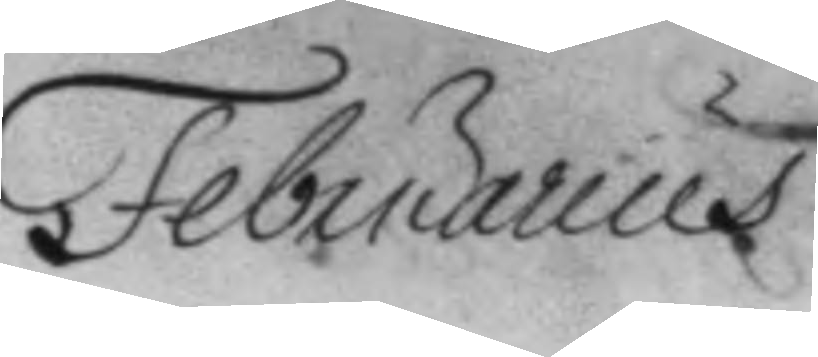Februarius
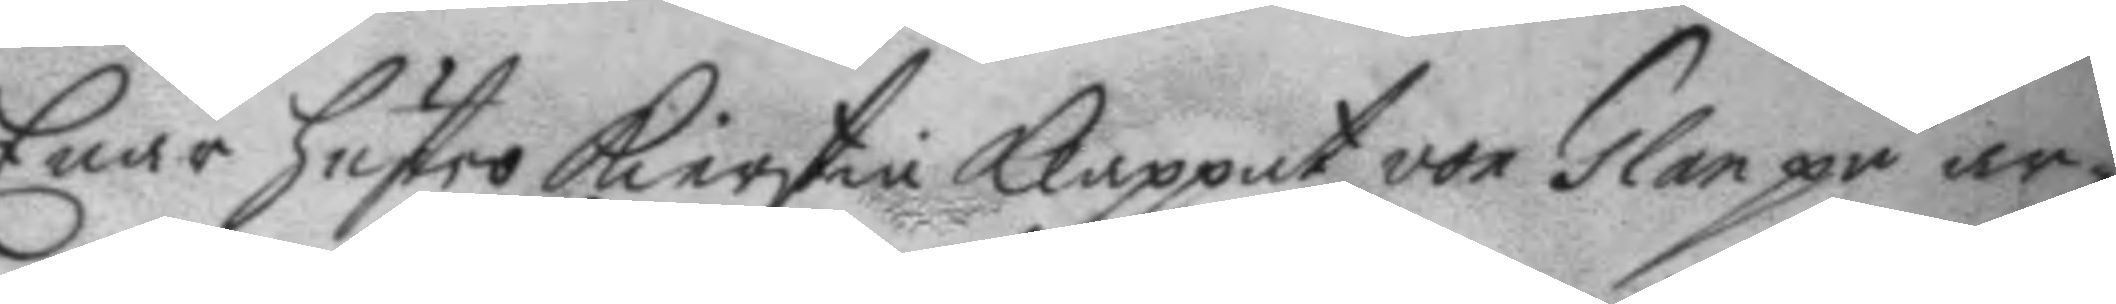Enär hustro Kierstin Klappat von Glan på ar¬
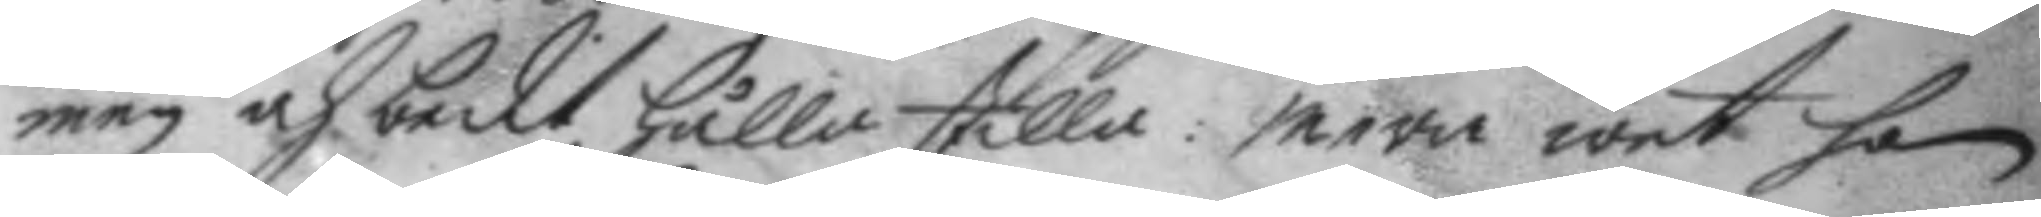men och bedit hålla stilla: mera wet hon
